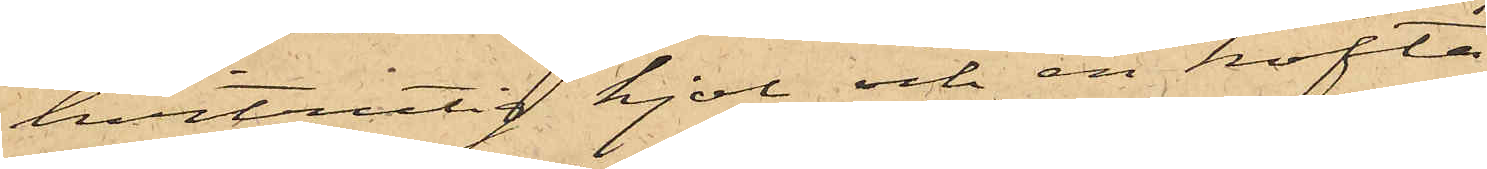hvitrutig kjol och en kofta,
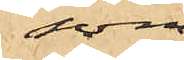som
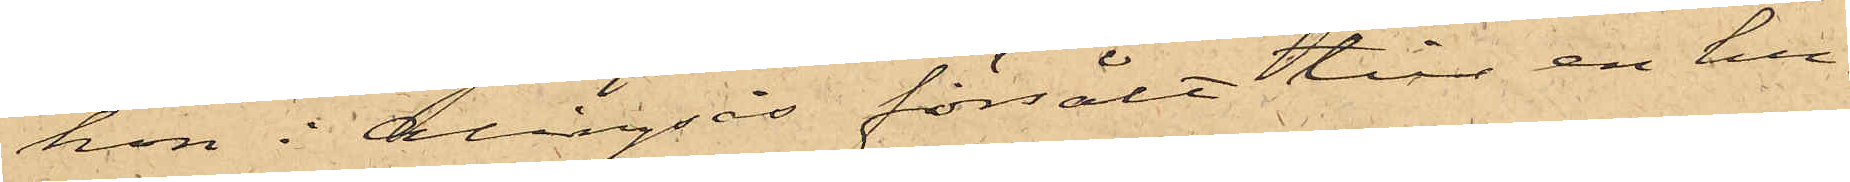hon i Alingsås försålt till en hu¬
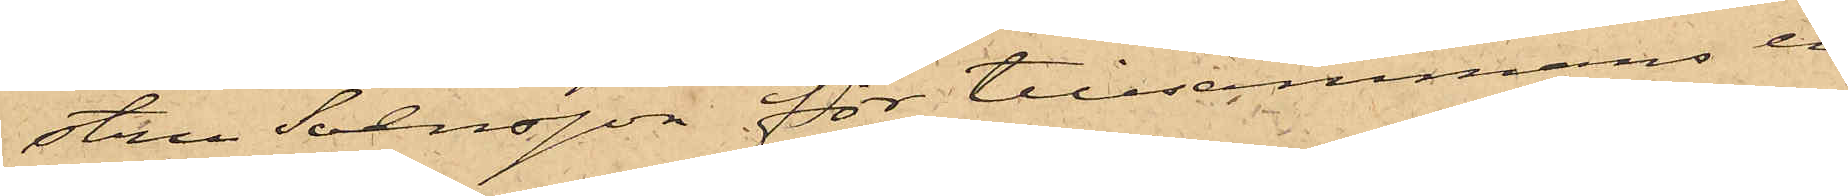stru Svensson för tillsammans en
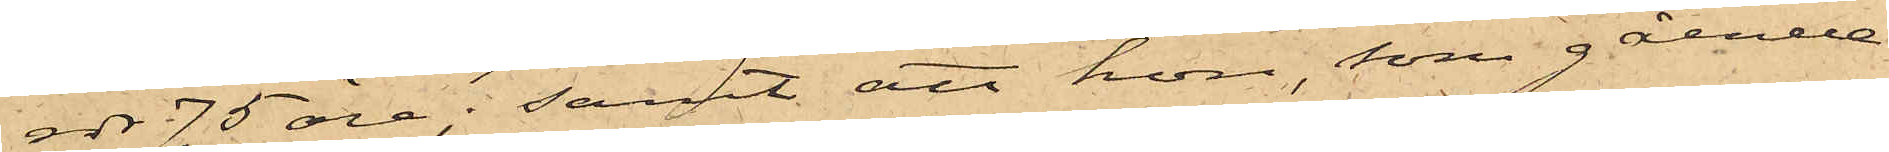rdr 75 öre; samt att hon, som gående
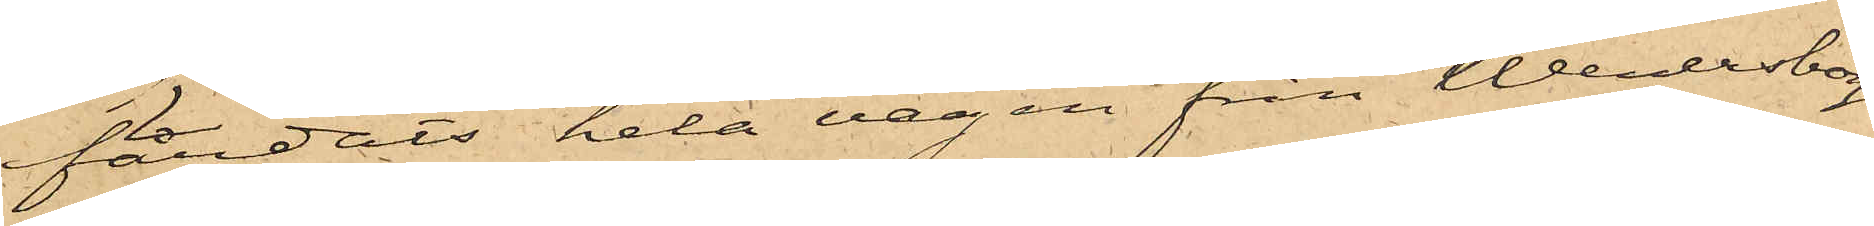färdats hela vägen från Wenersborg
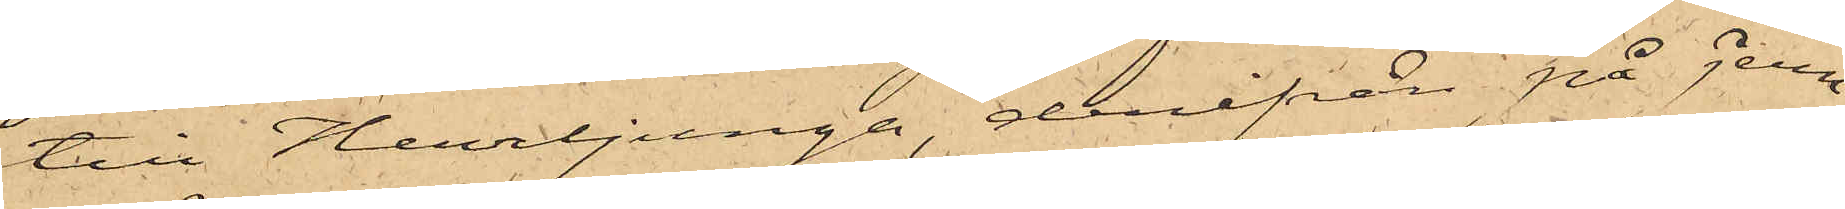till Herrljunga, derifrån på jern¬
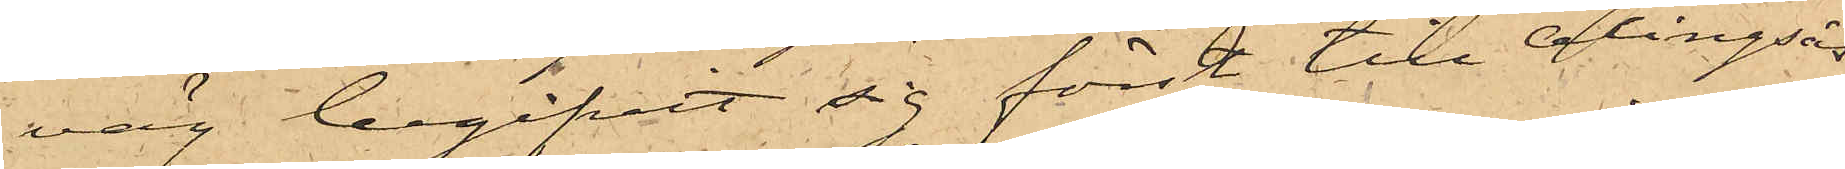väg begifvit sig först till Alingsås
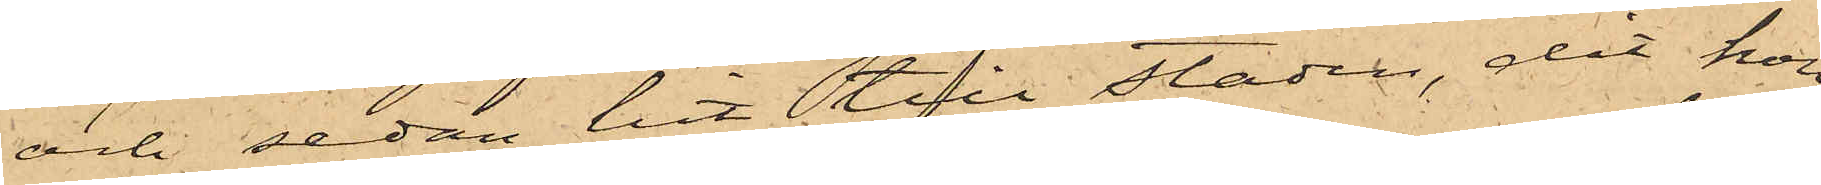och sedan hit till staden, dit hon
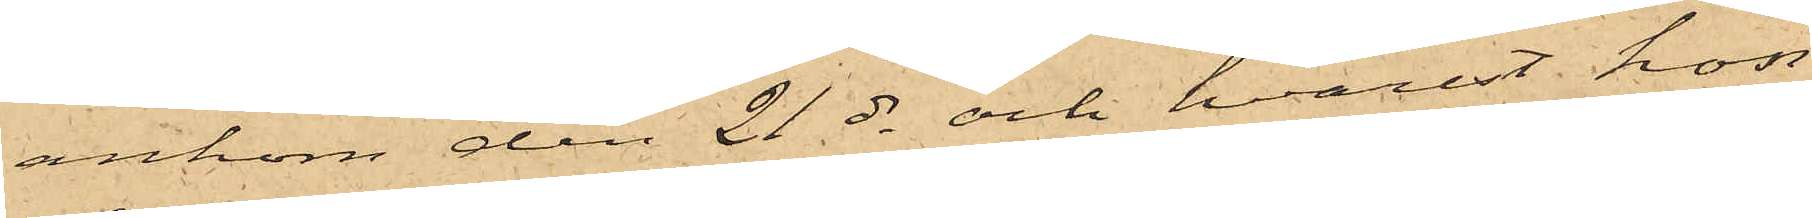ankom den 21 ds och hvarest hon
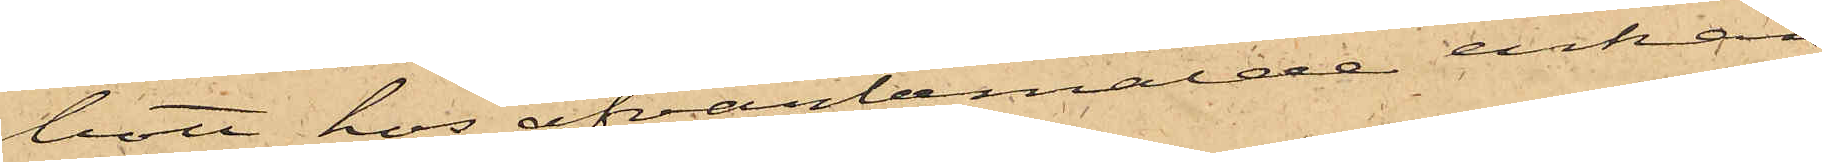bott hos ofvanbemälde enkan
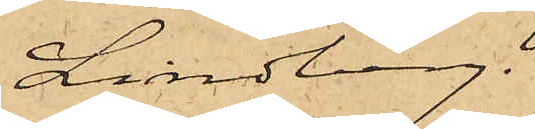Lindberg.
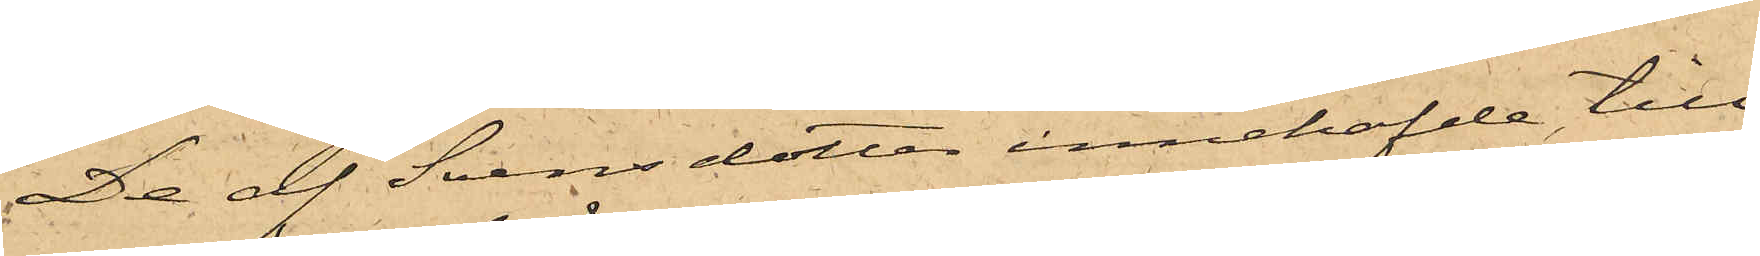De af Svensdotter innehafde till
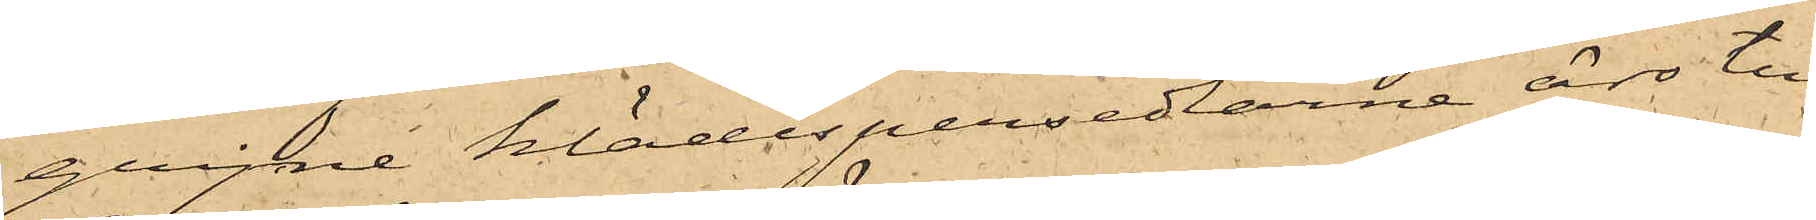gripne klädespersedlarne äro till
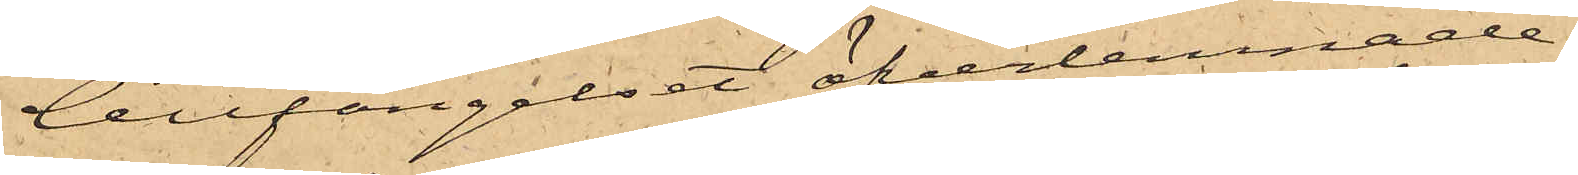Cellfängelset öfverlemnade.
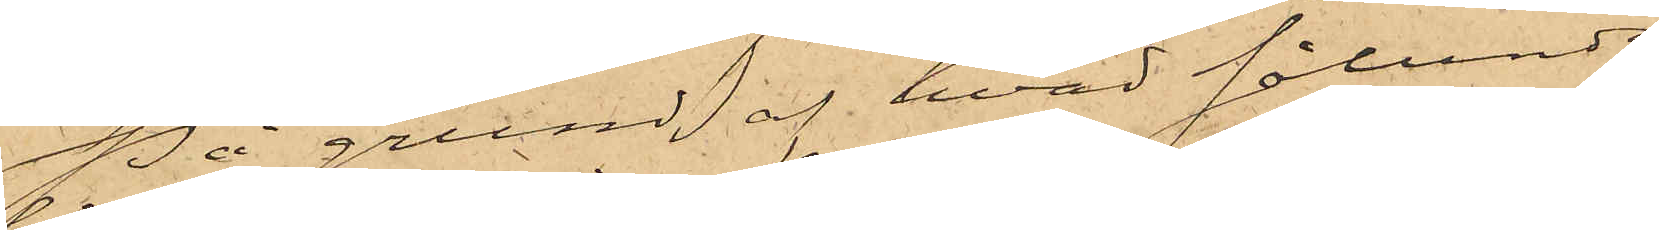På grund af hvad sålunda
